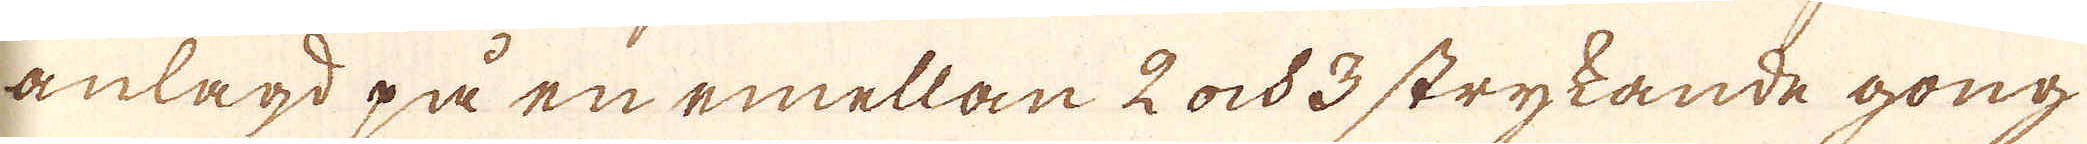anlagd på en emellan 2 ock 3 strykande gong
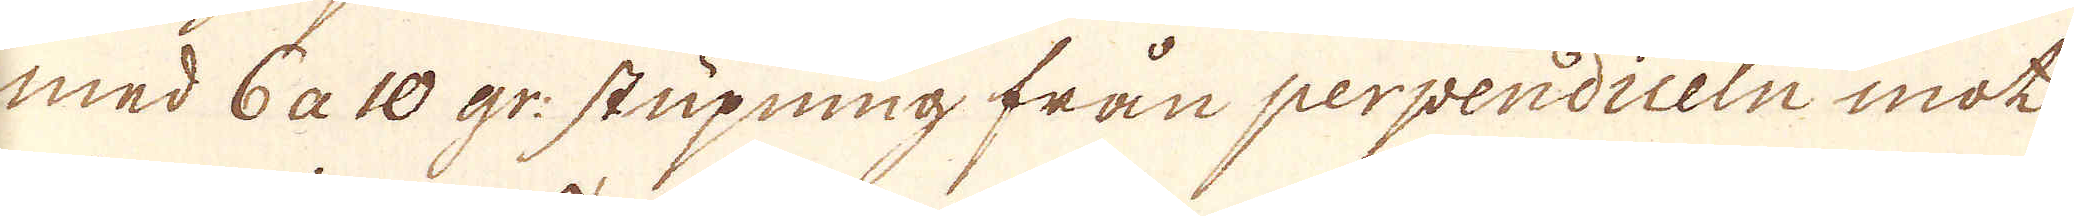med 6 a 10 gr: stupning från perpendiceln mot
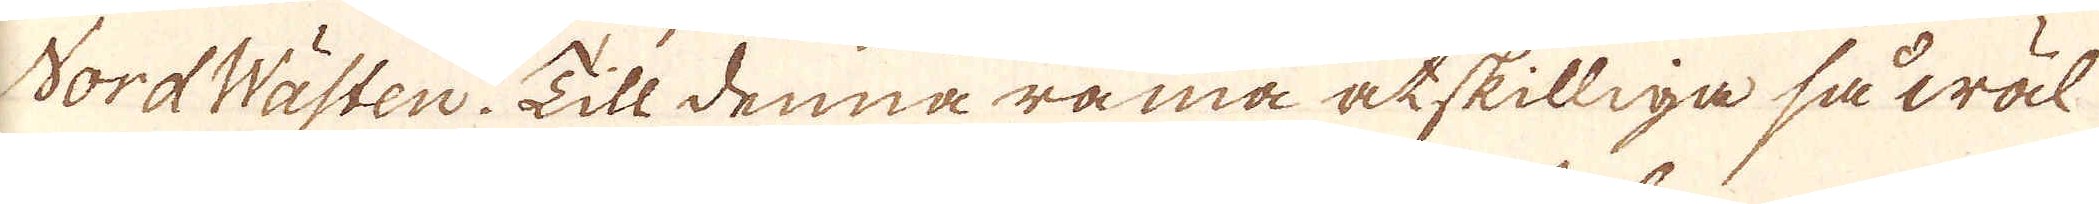NordWästen. Till denna rama åtskilliga så wäl
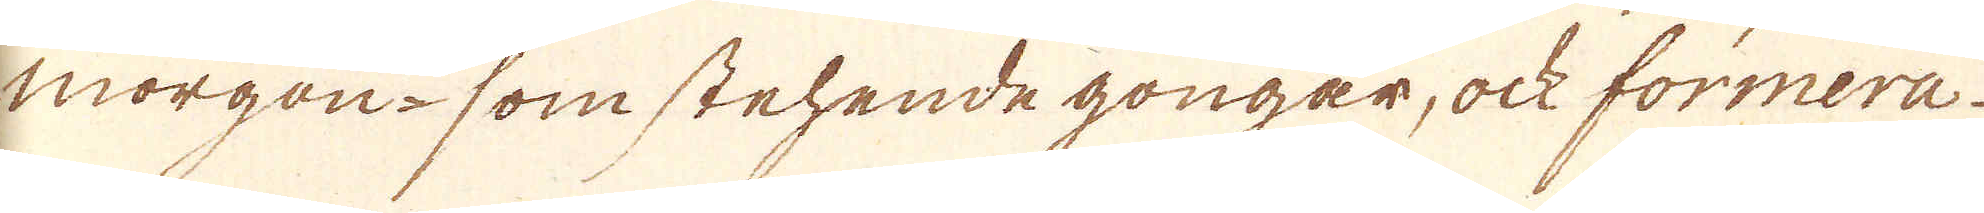morgon- som stehende gongar, ock formera.
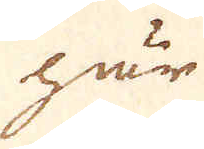här
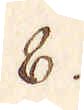8.
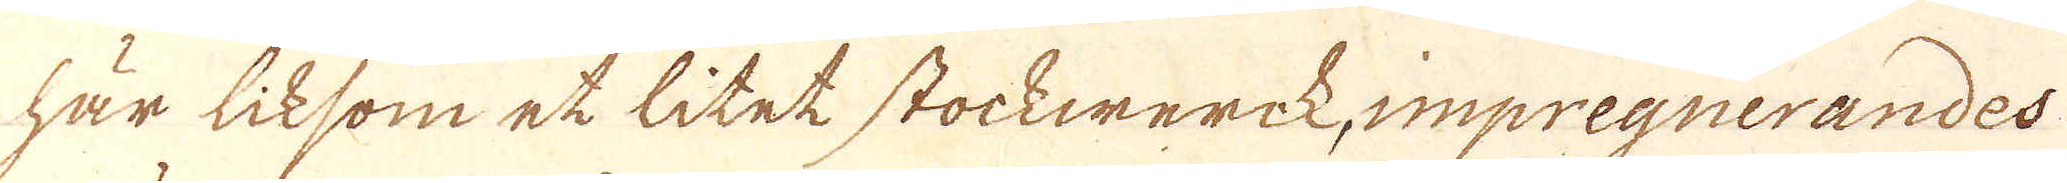här liksom et litet stockwerck, impregnerandes
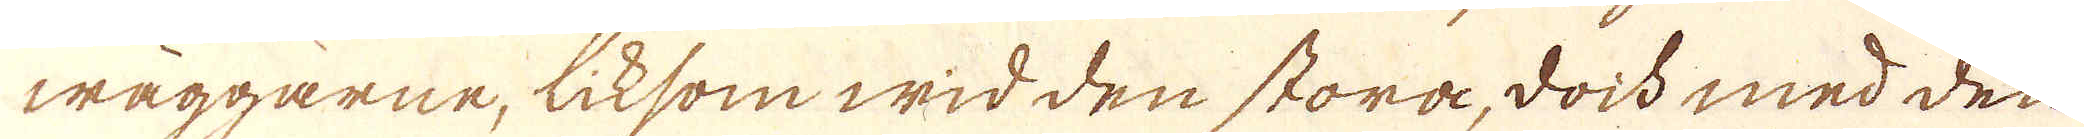wäggarne, liksom wid den stora, doch med den
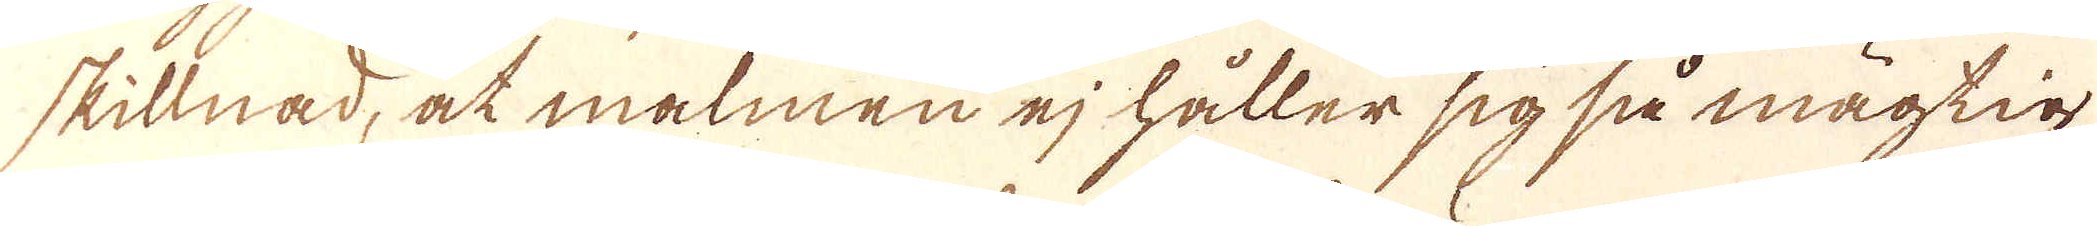skillnad, at malmen ej håller sig så mägtig
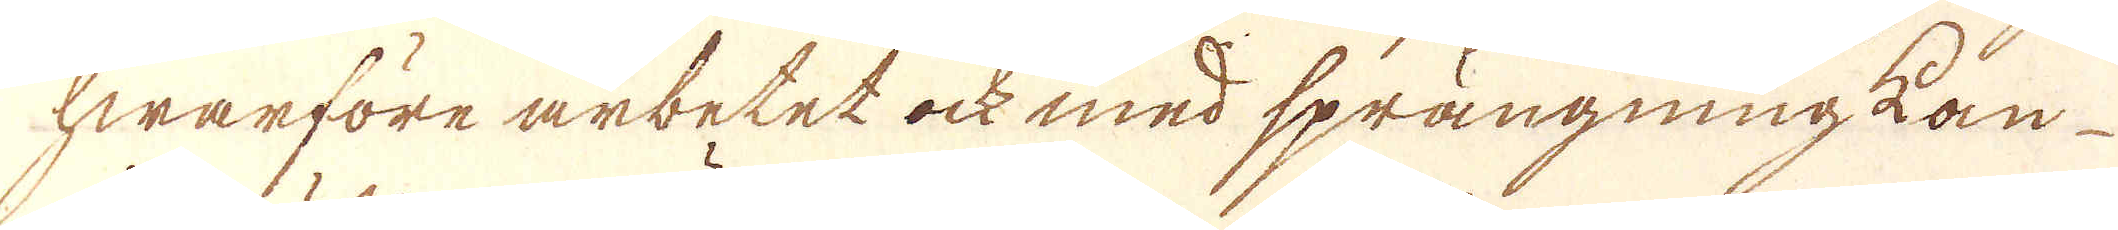hwarföre arbetet ock med sprängning kän
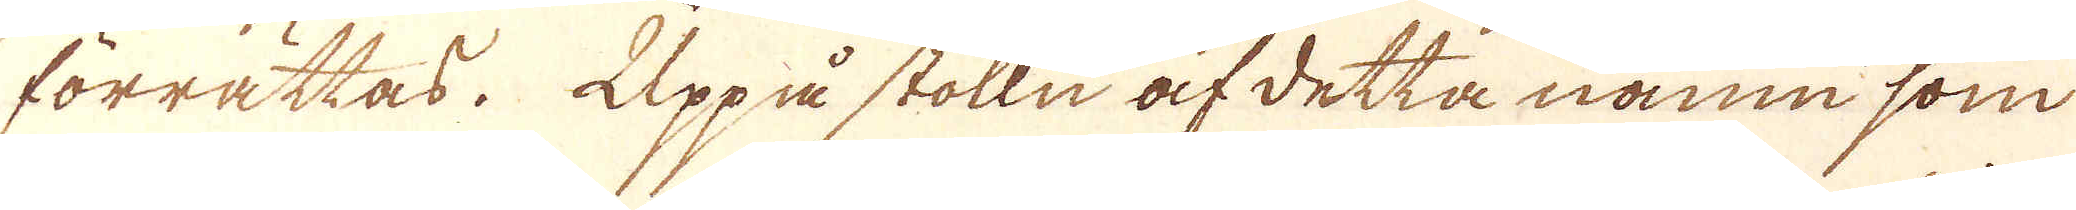förrattas. Uppå stolln af detta namn som
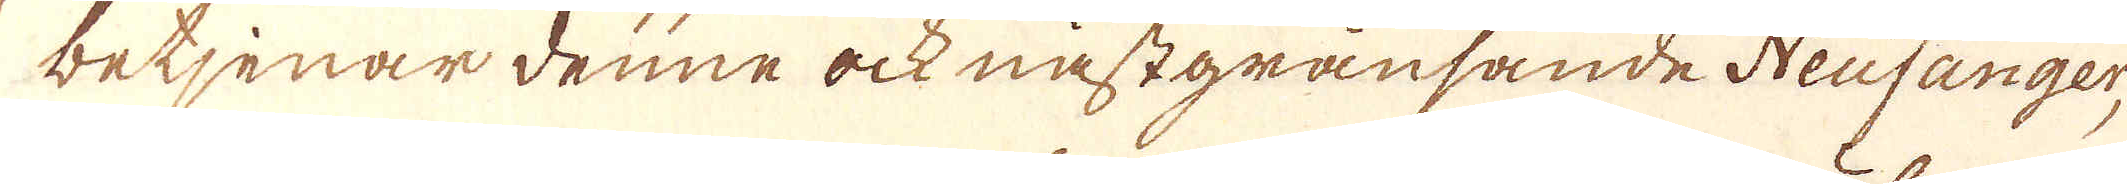betjenar denne ock nästgränsande Neufänger,
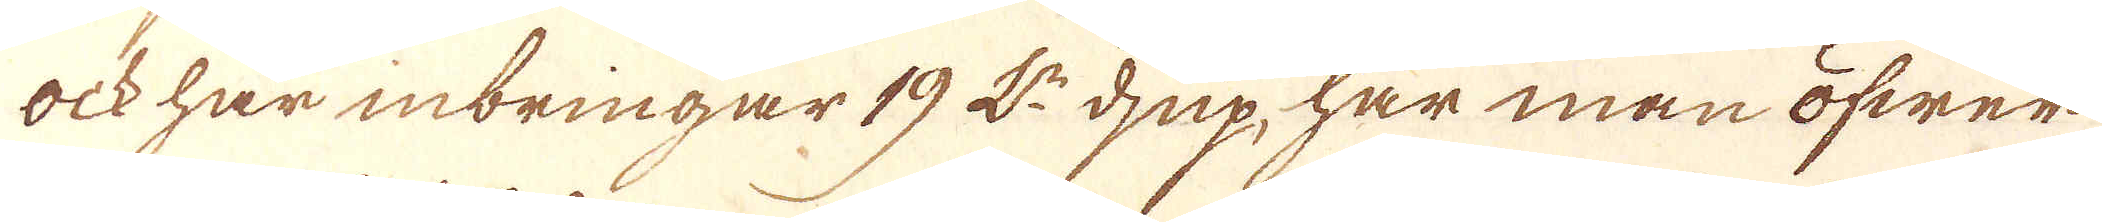ock har inbringar 19 L:r djup, har man öfwer
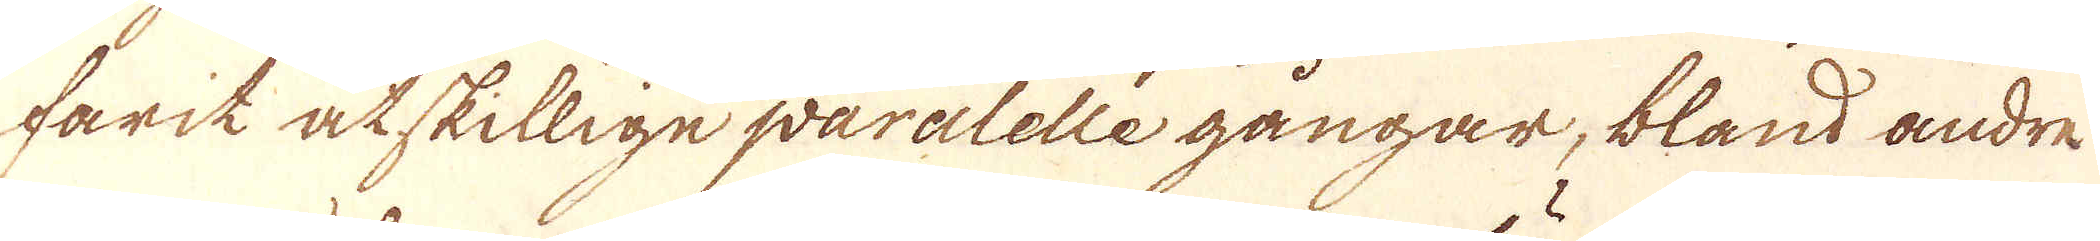farit åtskillige paralelle gångar, bland andre
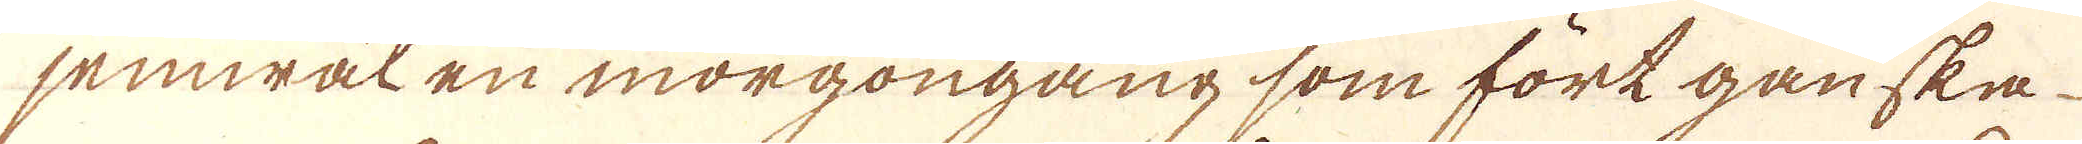jemwäl en morgongång som fört ganska
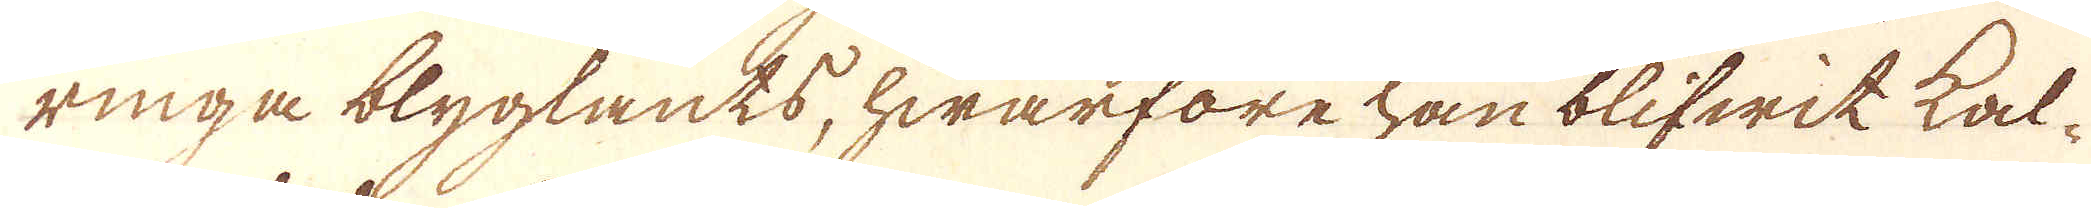ringa blyglants, hwarföre han blifwik kal-
